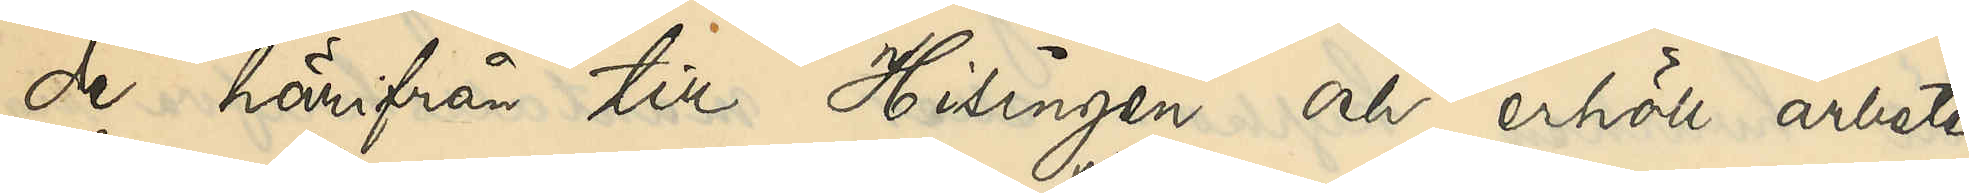de härifrån till Hisingen och erhöll arbete
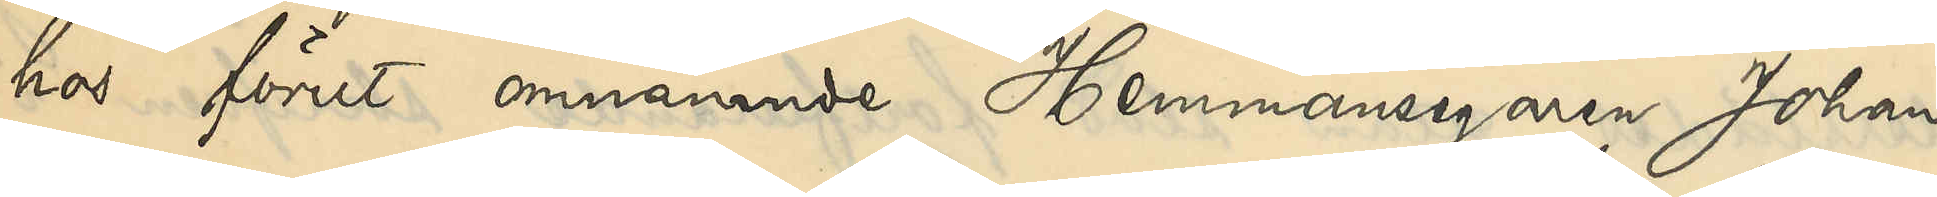hos förut omnämnde Hemmansegaren Johan
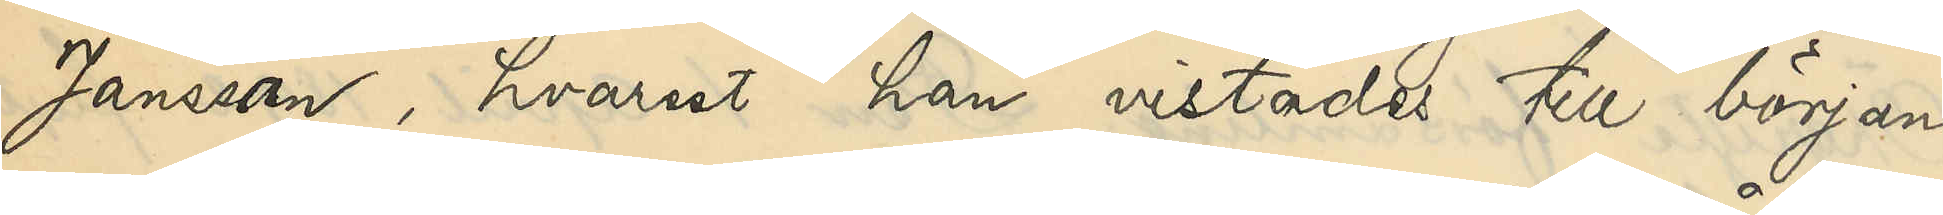Jansson, hvarest han vistades till början
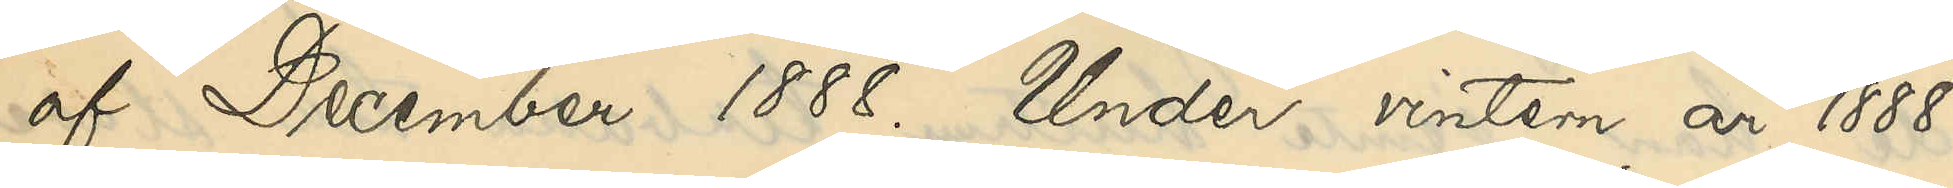af December 1888. Under vintern år 1888
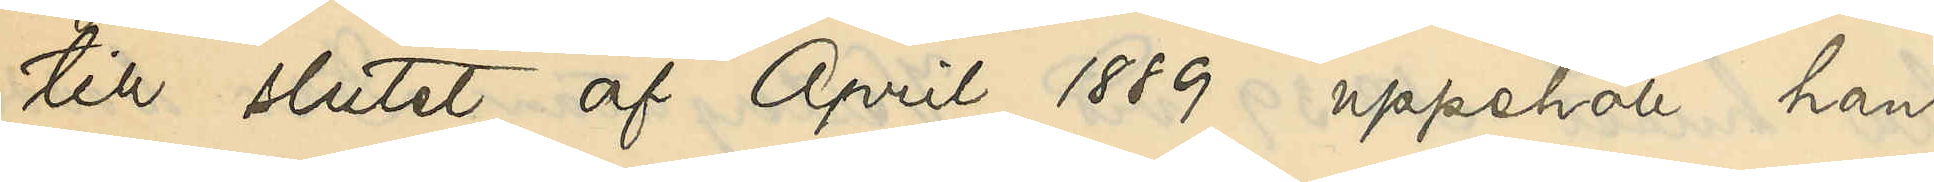till slutet af April 1889 uppehöll han
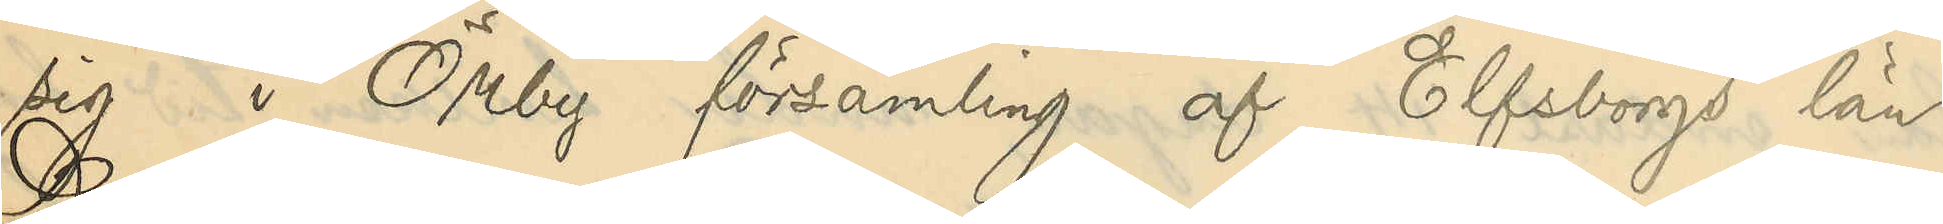sig i Örby församling af Elfsborgs län.
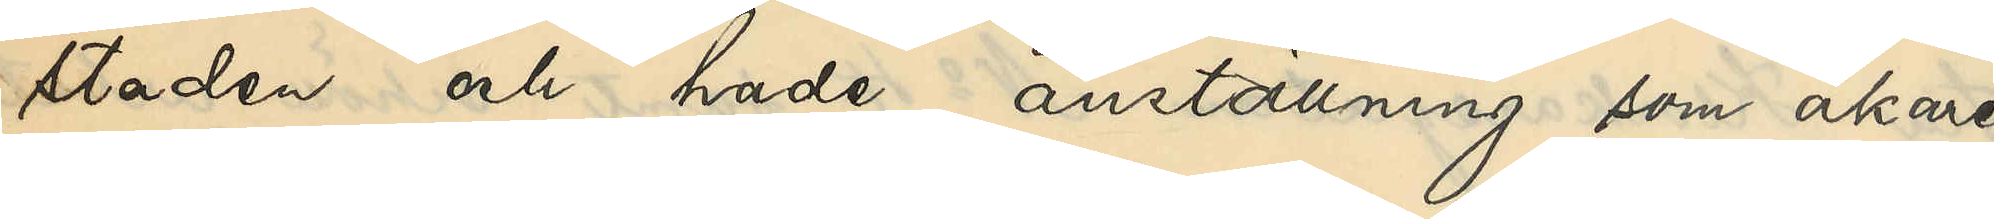staden och hade anställning som åkare¬
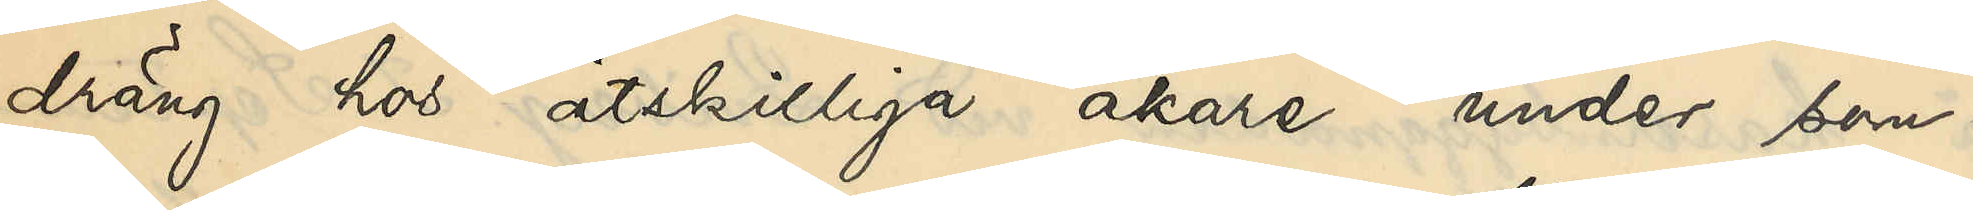dräng hos åtskilliga åkare under som¬
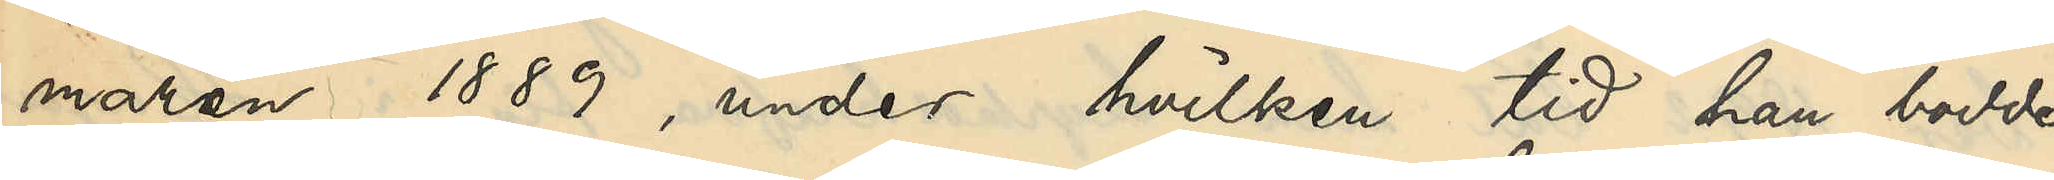maren 1889, under hvilken tid han bodde
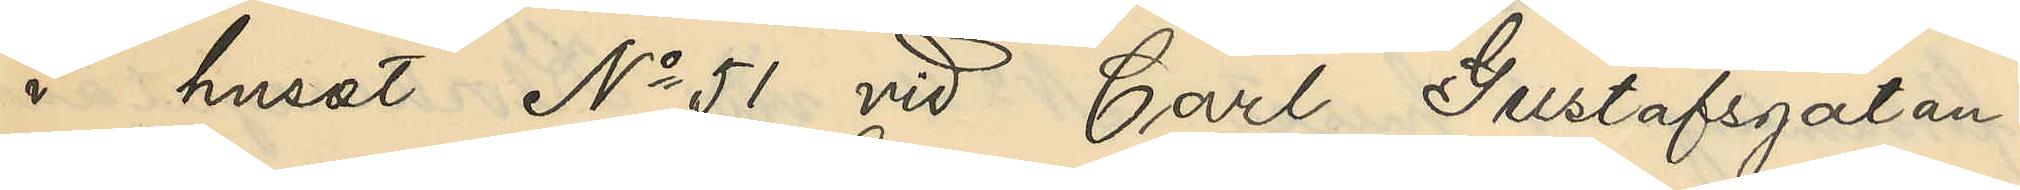i huset No 51 vid Carl Gustafsgatan.
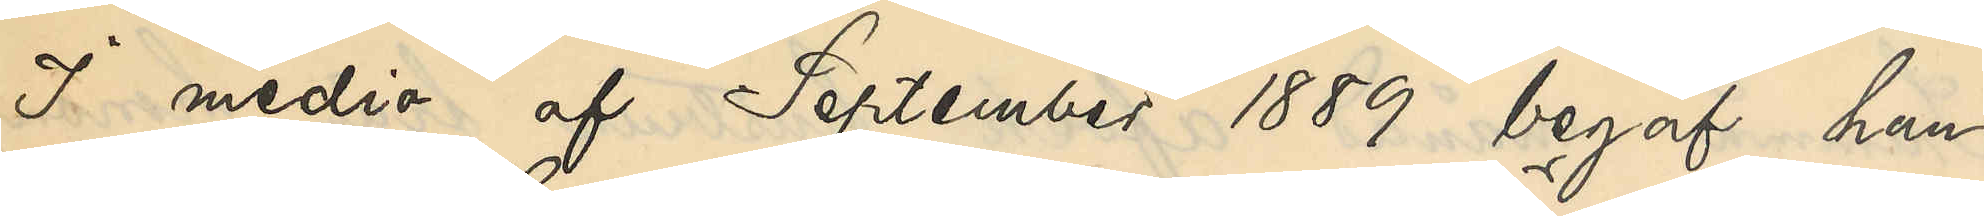I medio af September 1889 begaf han
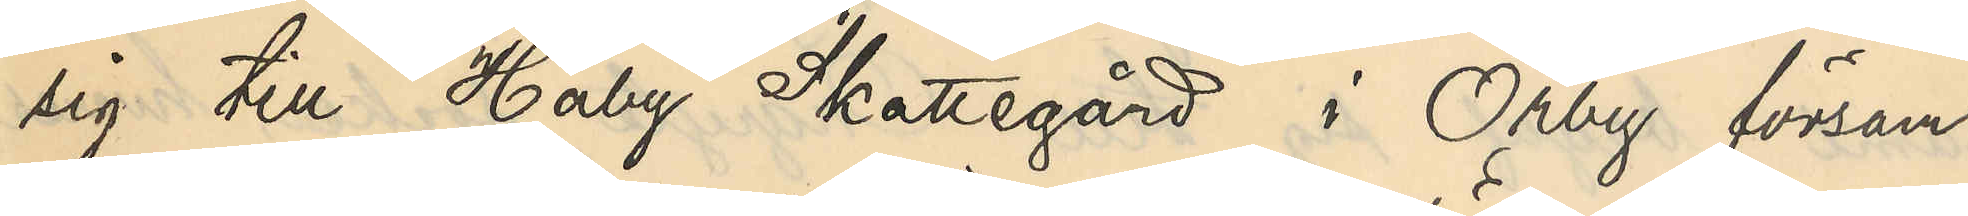sig till Haby Skattegård i Örby försam¬
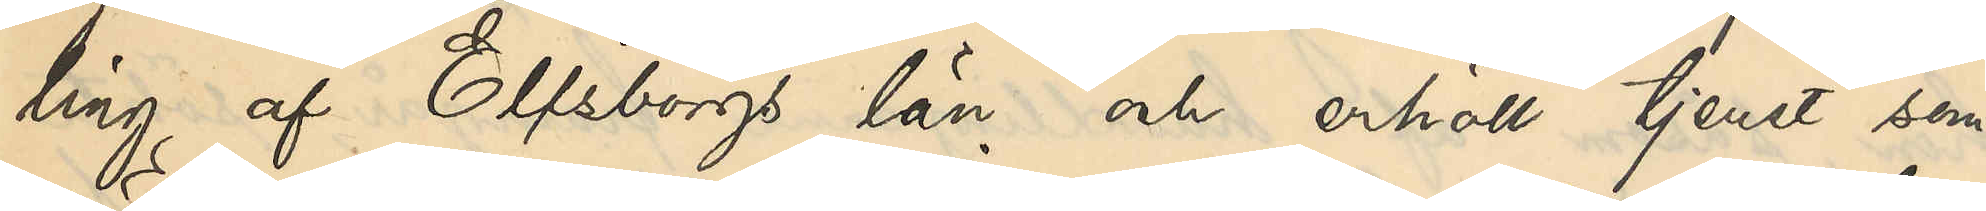ling af Elfsborgs län och erhöll tjenst som
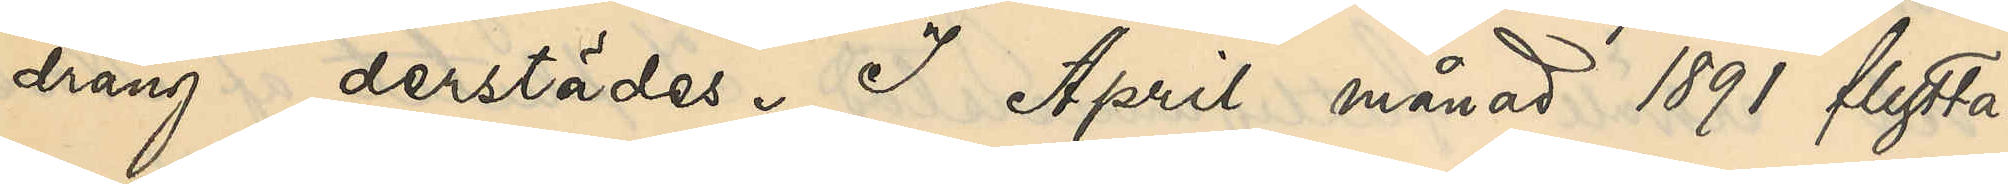dräng derstädes. I April månad 1891 flytta¬
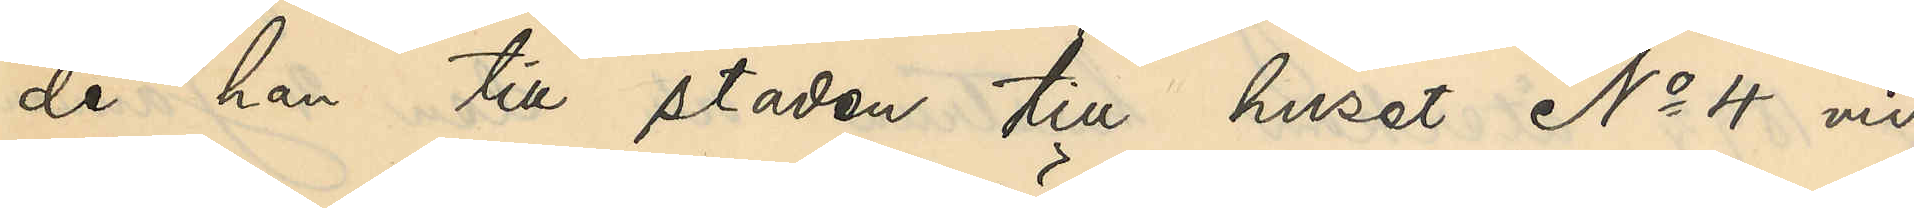de han till staden till huset No 4 vid
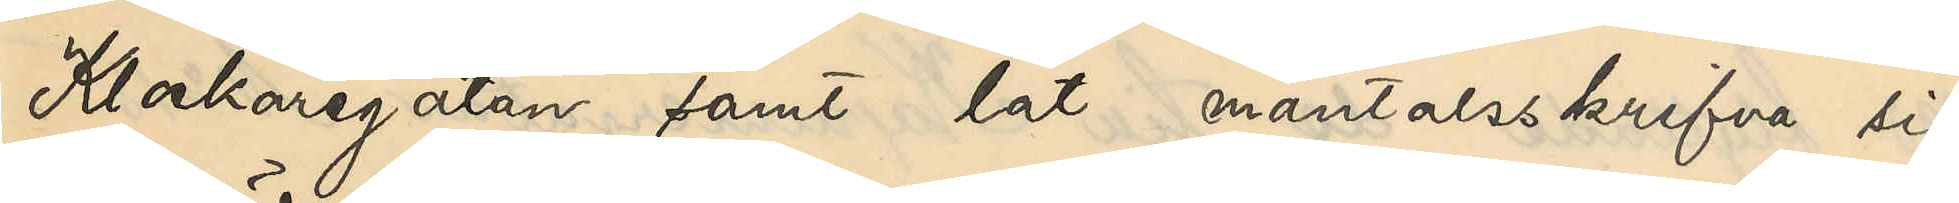Klockaregatan samt lät mantalsskrifva sig
